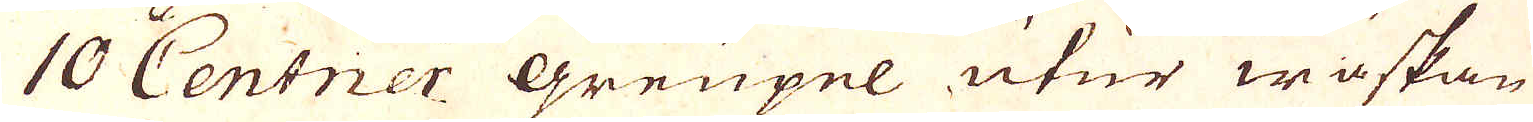10 Centner Greupel utur wäskan
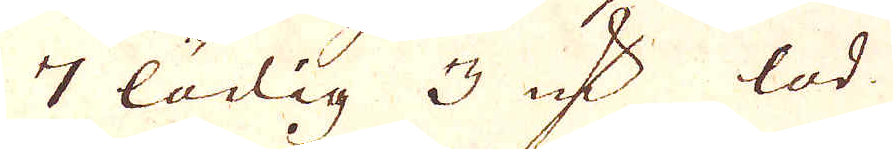7 lödig 3 qv:r lod
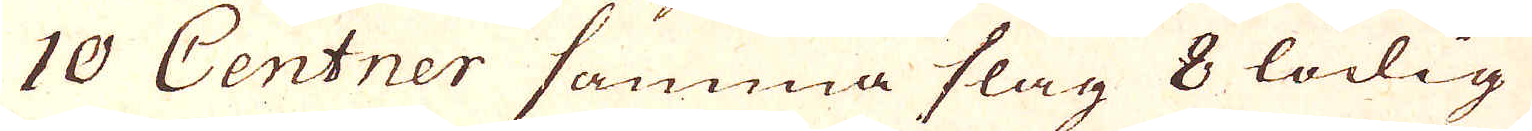10 Centner samma slag 8 lödig
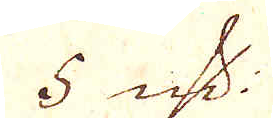5 qv:r.
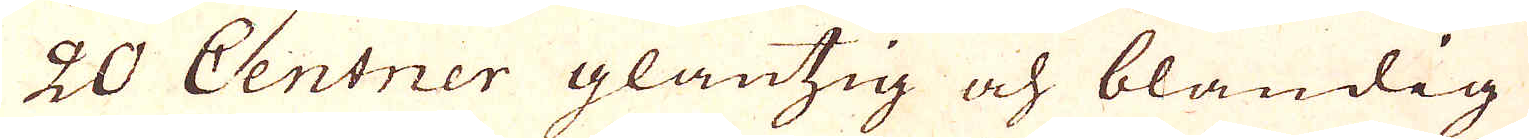20 Centner glantzig och bländig
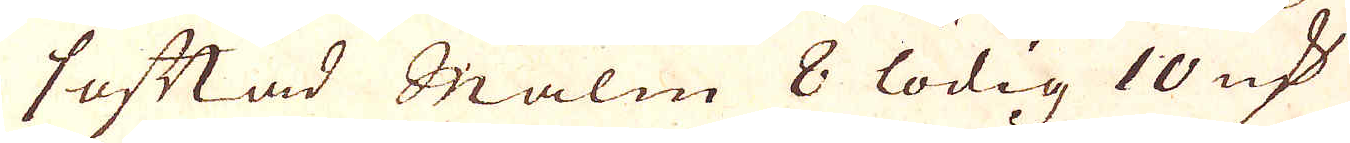saftad Malm 8 lödig 10 qv:r
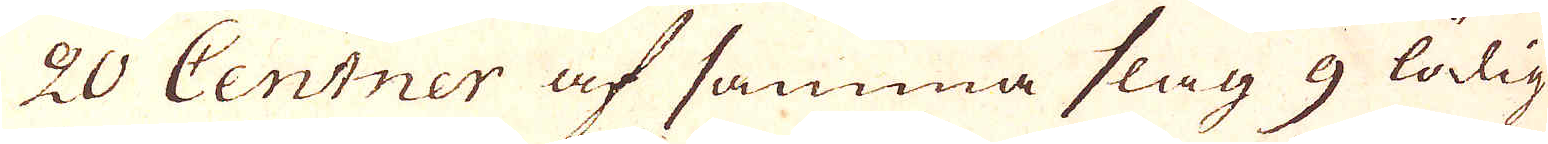20 Centner af samma slag 9 lödig
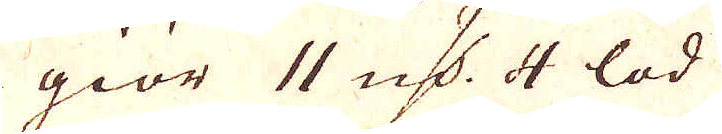giör 11 qv:r 4 lod
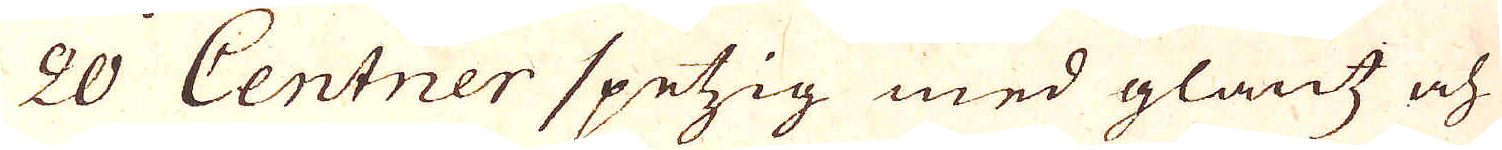20 Centner spetzig med glantz och
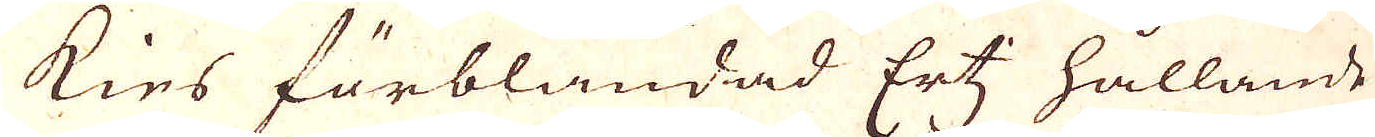kies förblandad Ertz hållande
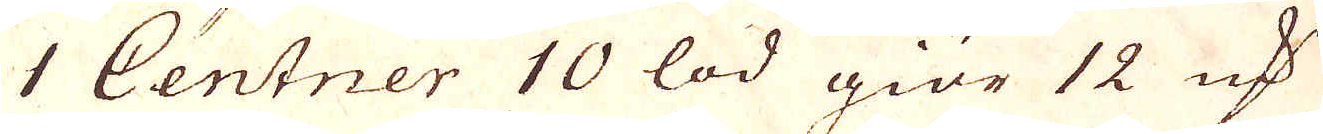1 Centner 10 lod giör 12 qv:r
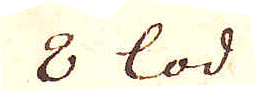8 lod
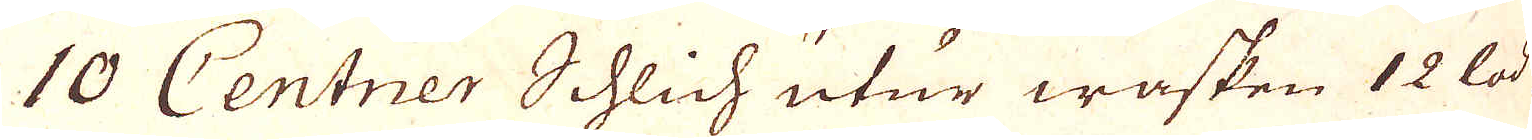10 Centner Schlich utur wasken 12 lod
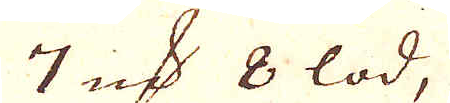7 qv:r 8 lod,
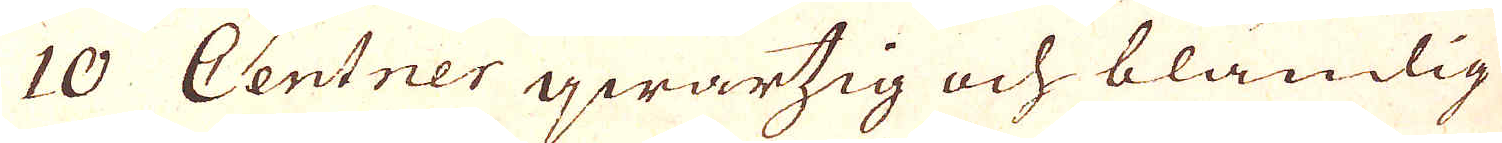10 Centner qwartzig och bländig
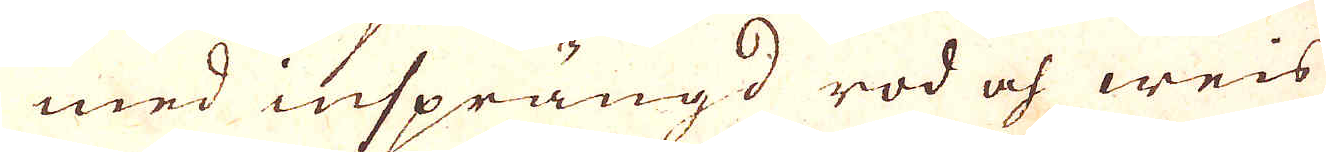med insprängd rod och weis
